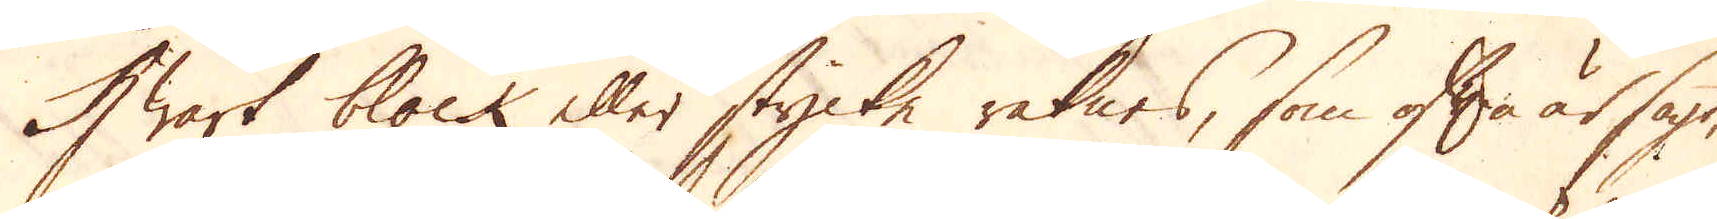Hwart block eller stycke räknas, som ofta är sagt,
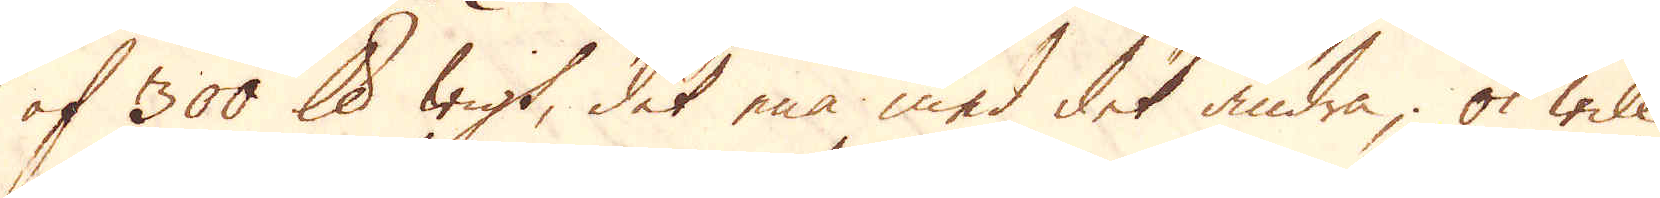af 300 skålpund wigt, det ena med det andra, ok will
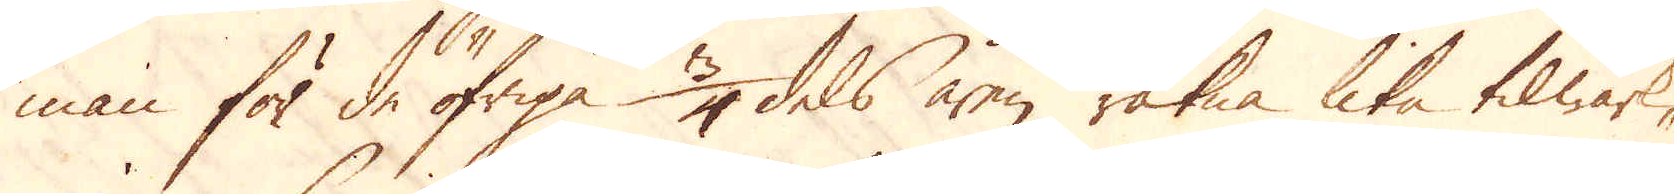man för de öfriga 3/4 dels åren räkna lika tilwärk-
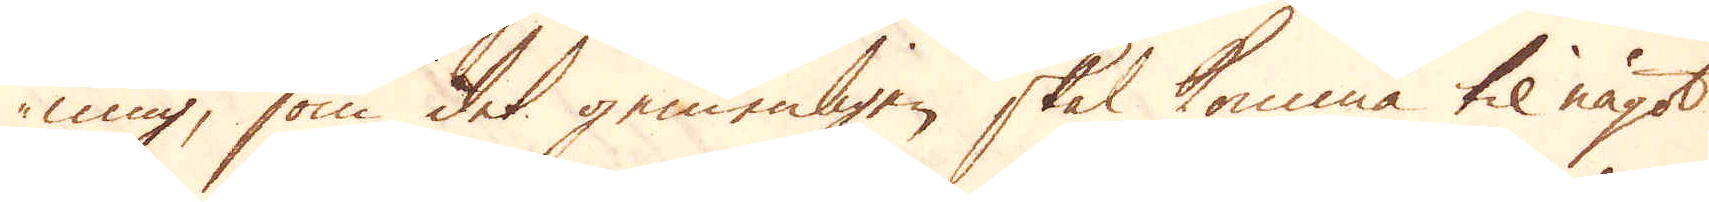ning, som det gemenligen skal komma til något
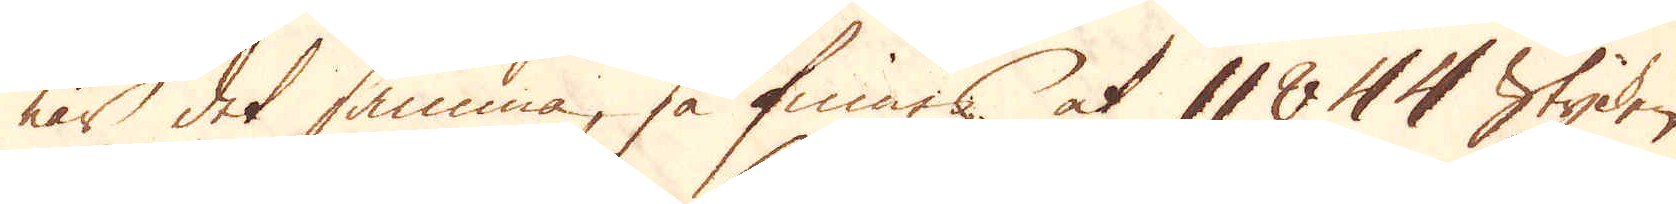när det samma, så finnes at 11844 Stycken
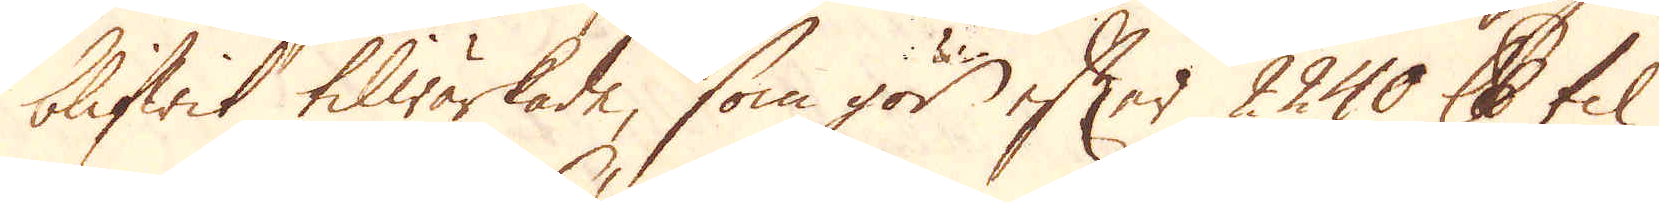blifwit tilwärkade, som gör efter 2240 skålpund til
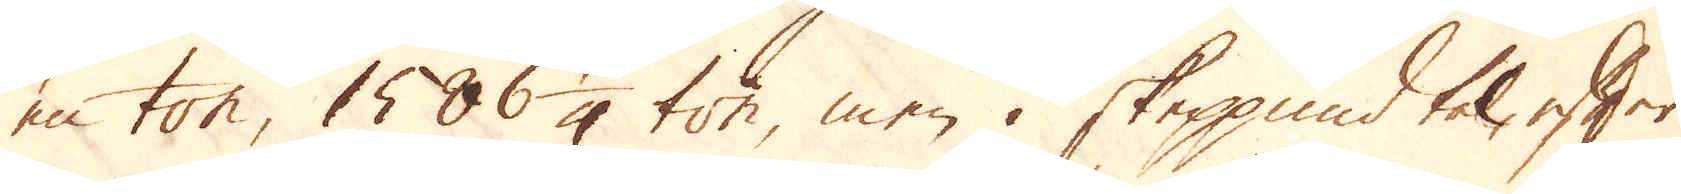en ton, 1586 1/4 ton, men i skeppund tal, efter
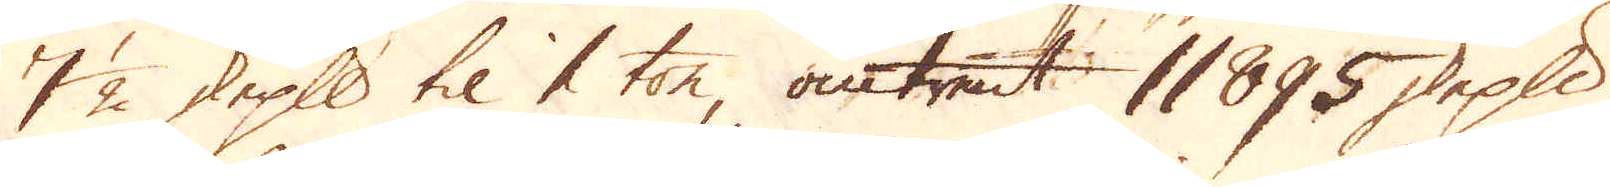7 1/2 skeppund til 1 ton, omtrent 11895 skeppund,
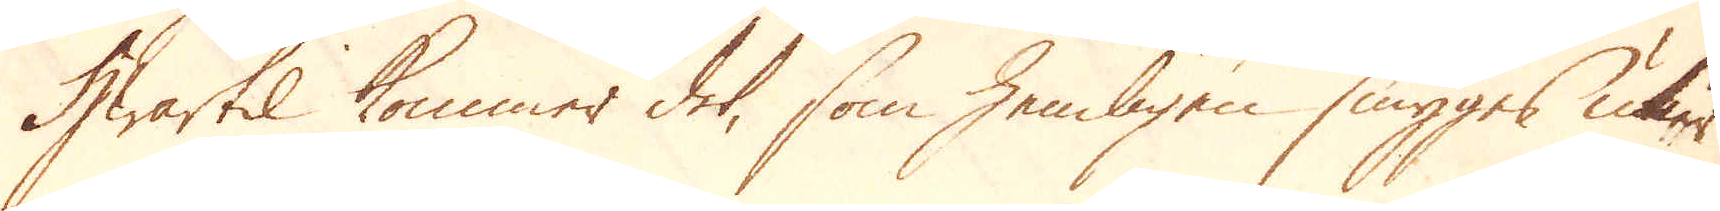Hwartil kommer det, som hemligen smyges utur
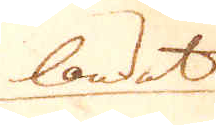landet
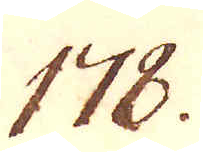178.
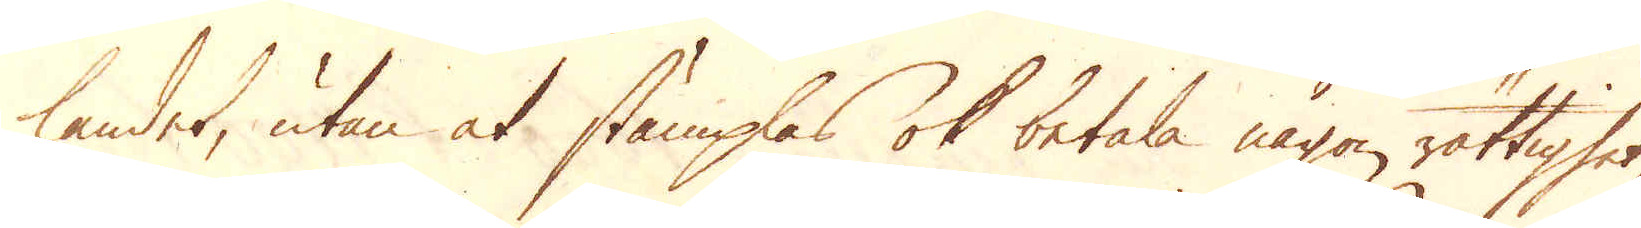landet, utan at stämplas ok betala någon rättighet
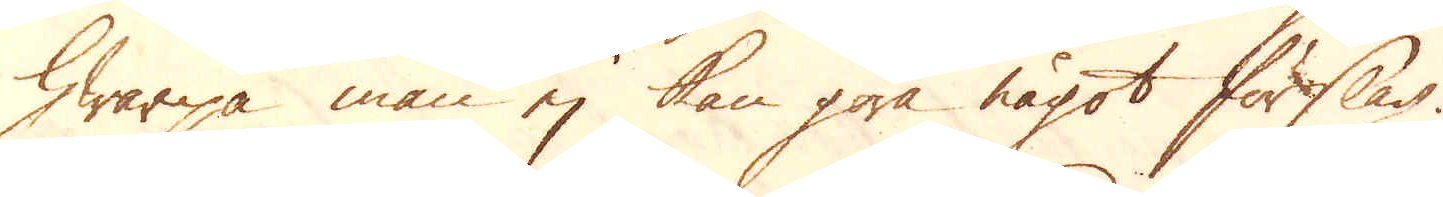hwarpå man ej kan göra något förslag.
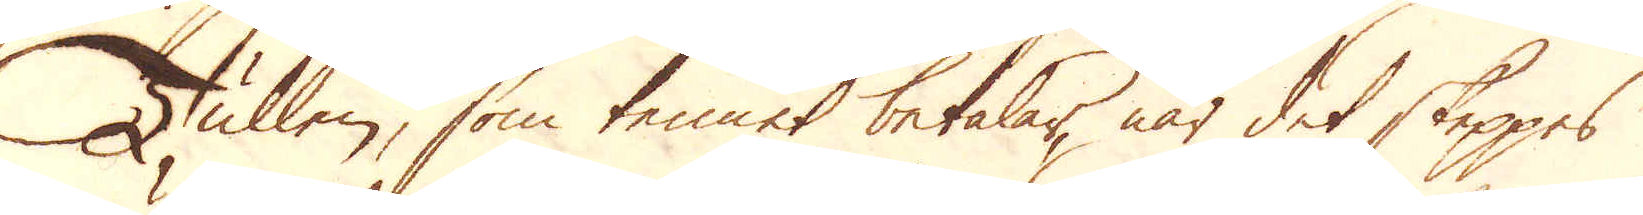Tullen, som tennet betalar, när det skeppes
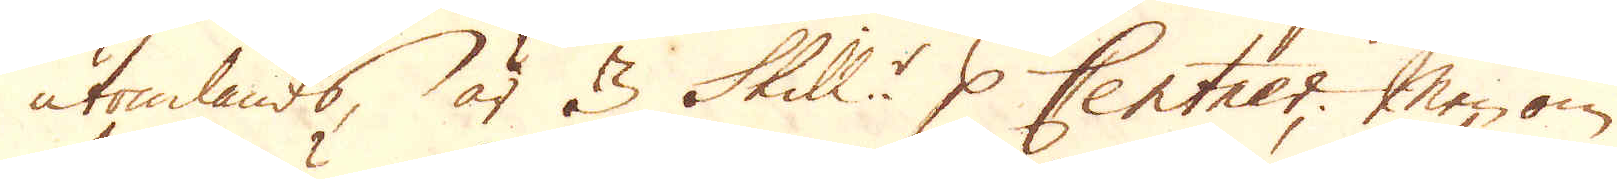utomlands, är 3 Skill:r p Centner; Men om
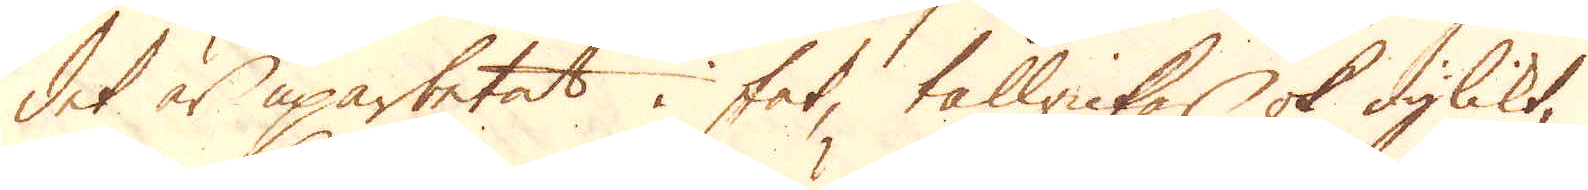det är uparbetat i fat, tallrickar ok dylikt,
